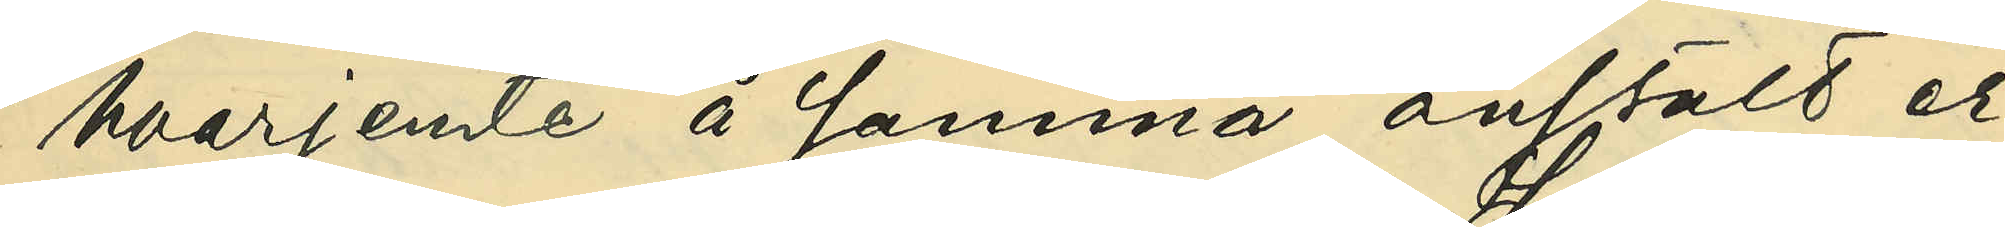hvarjemte å samma anstalt er¬
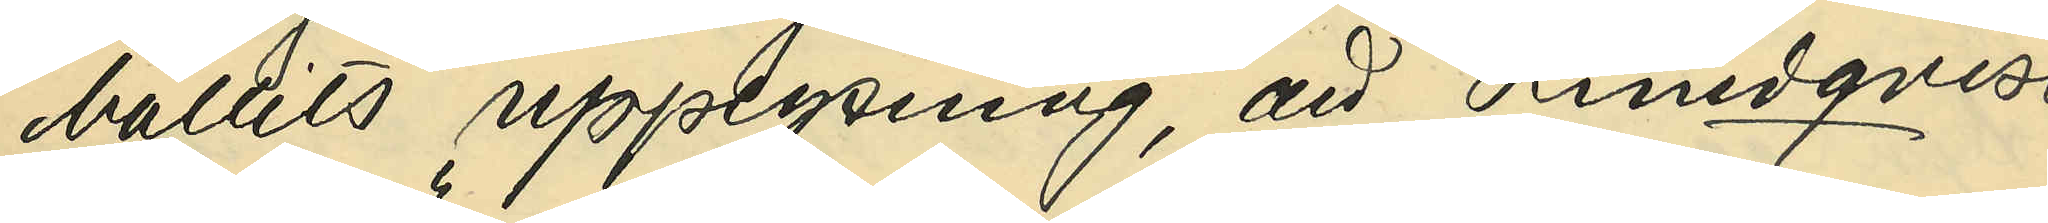hållits upplysning, att Lundqvist
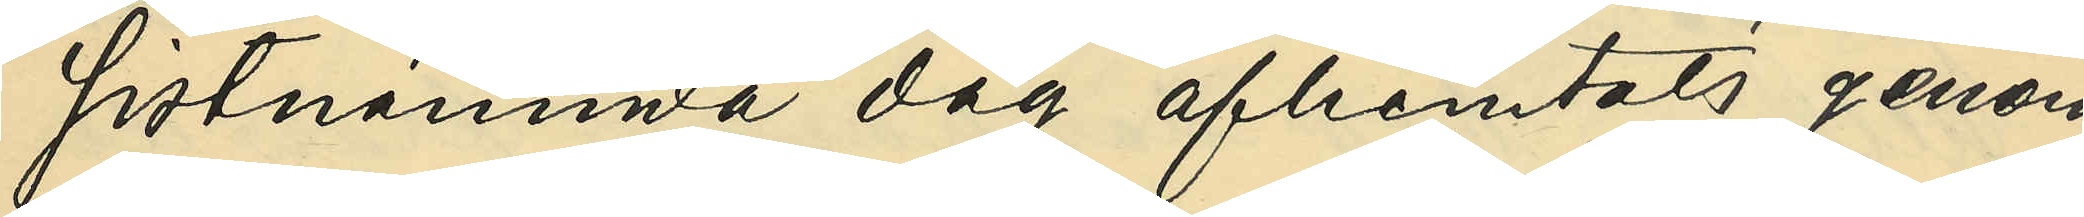sistnämnda dag afhemtats genom
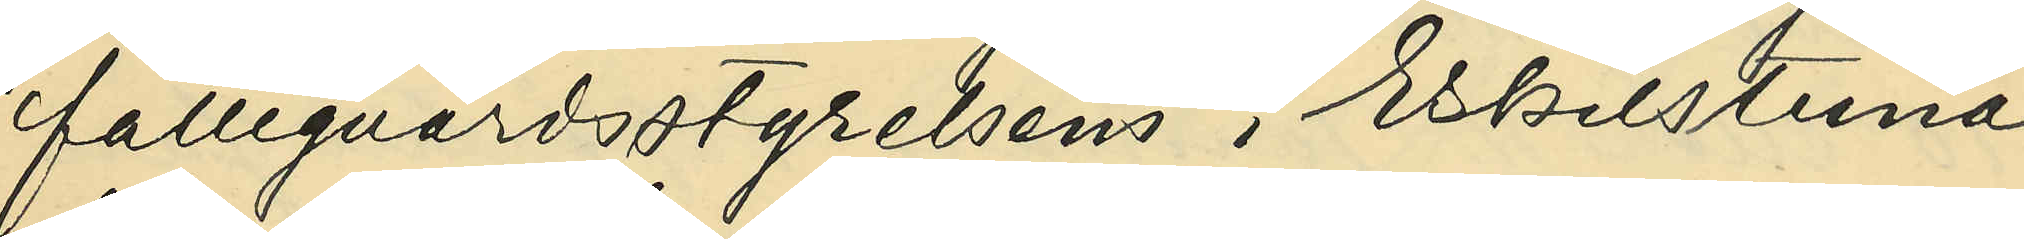fattigvårdsanstaltens i Eskilstuna
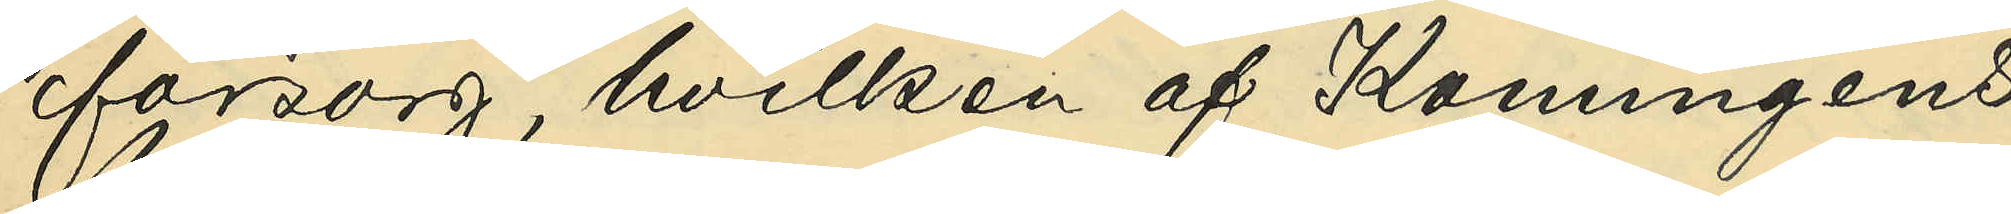försorg, hvilken af Konungens
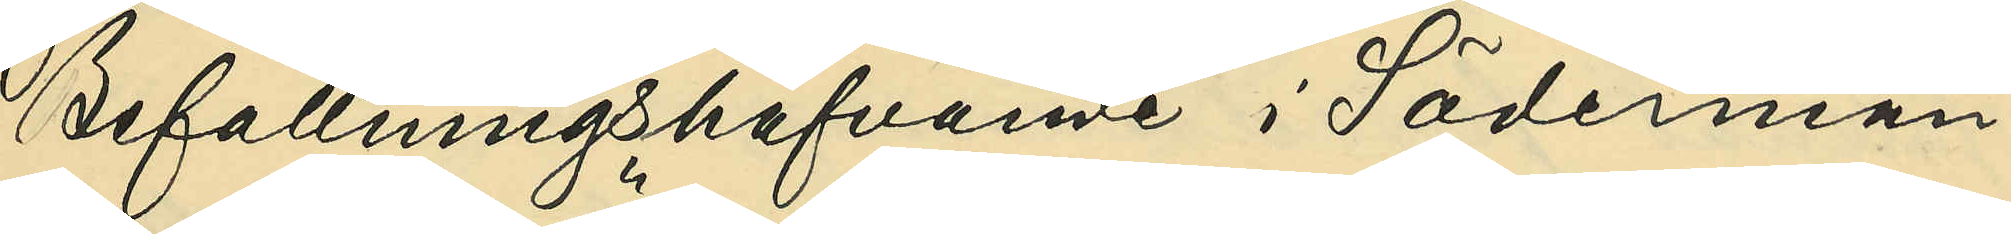Befallningshafvande i Söderman¬
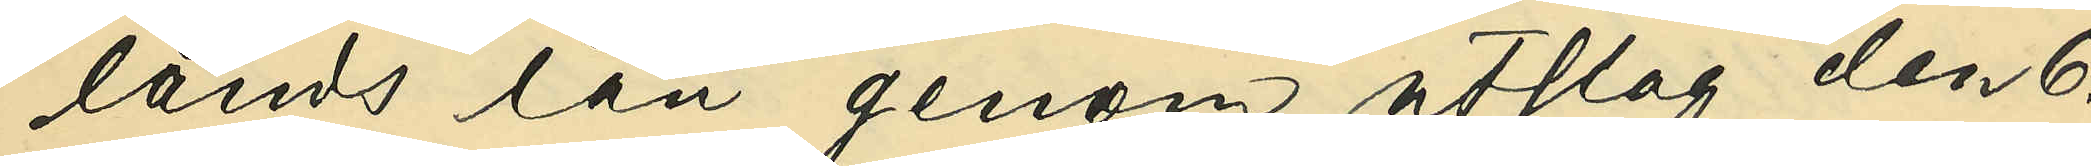lands län genom utslag den 6.
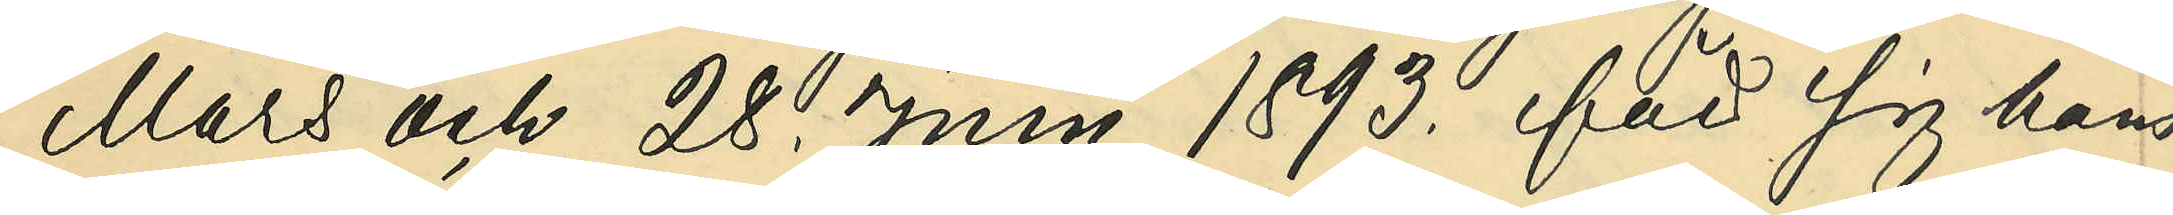Mars och 28. Juni 1893. för sig hans
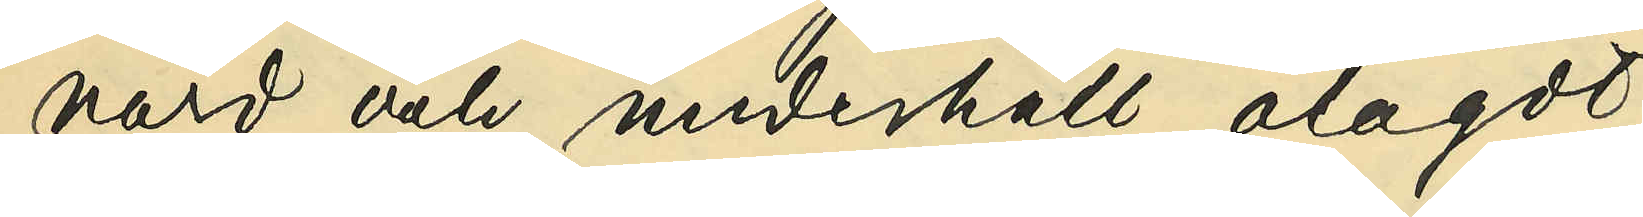vård och underhåll ålagdt.
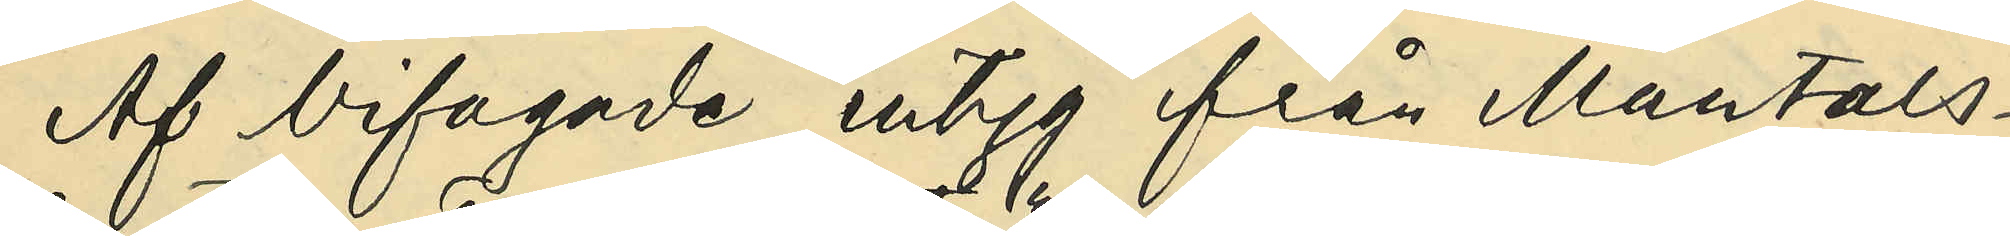Af bifogade intyg från Mantals¬
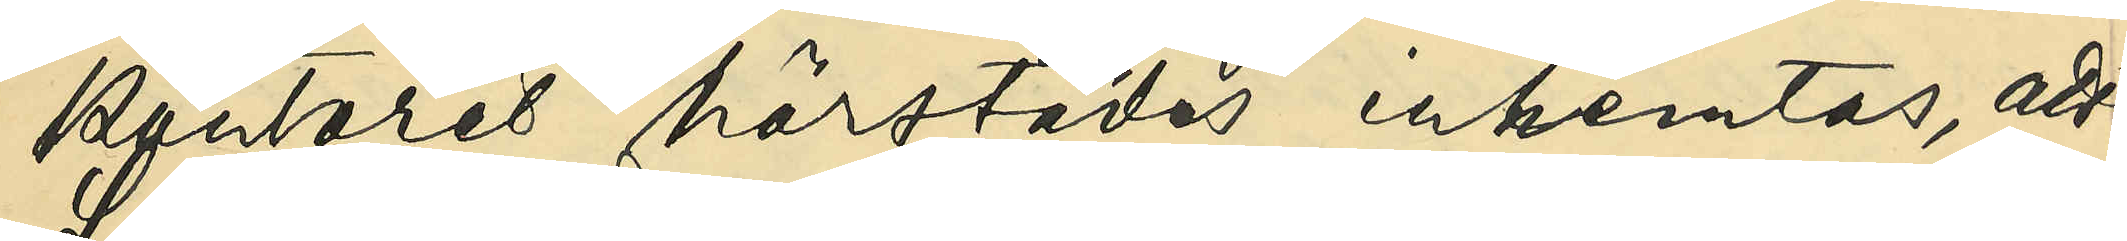kontoret härstädes inhemtas, att
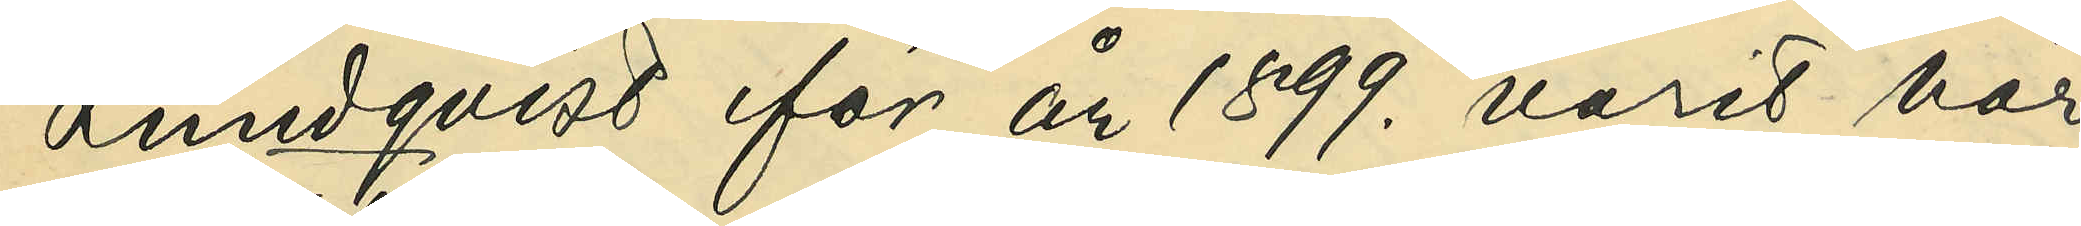Lundqvist för år 1899. varit här
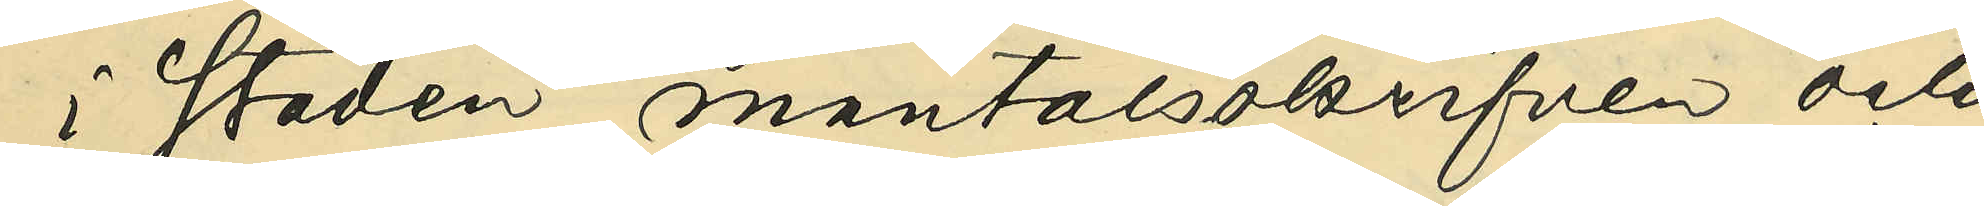i staden mantalsskrifven och
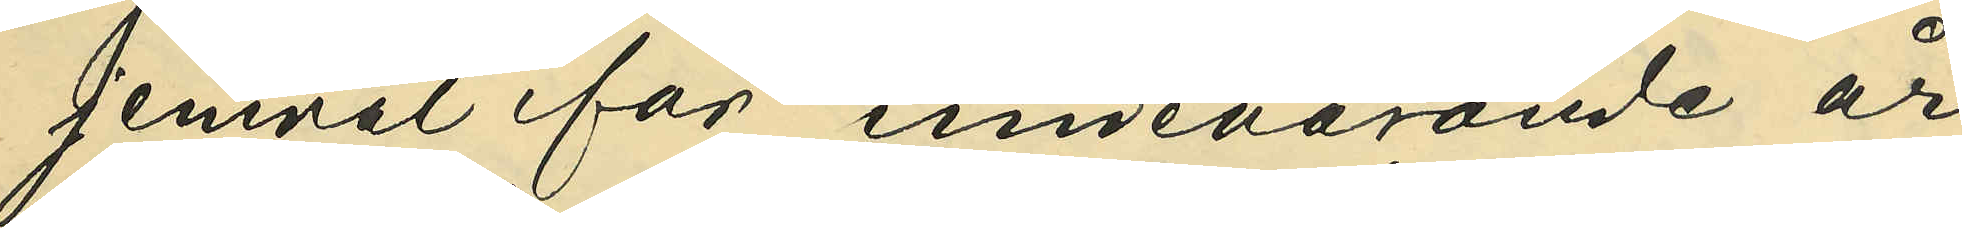jemväl för innevarande år
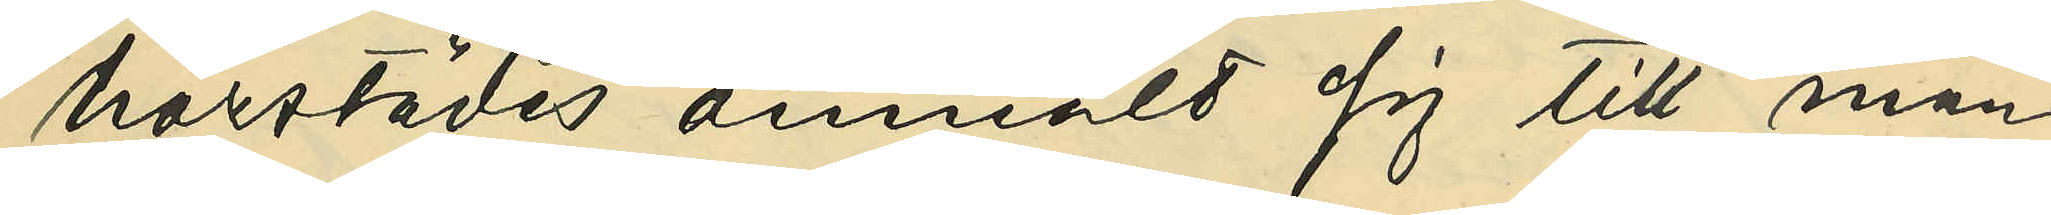härstädes anmält sig till man¬
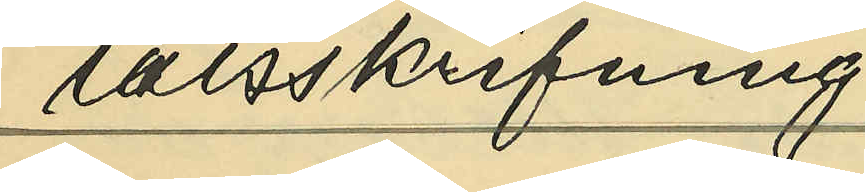talsskrifning.
